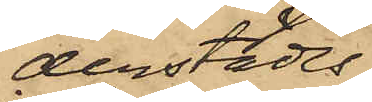derstädes,
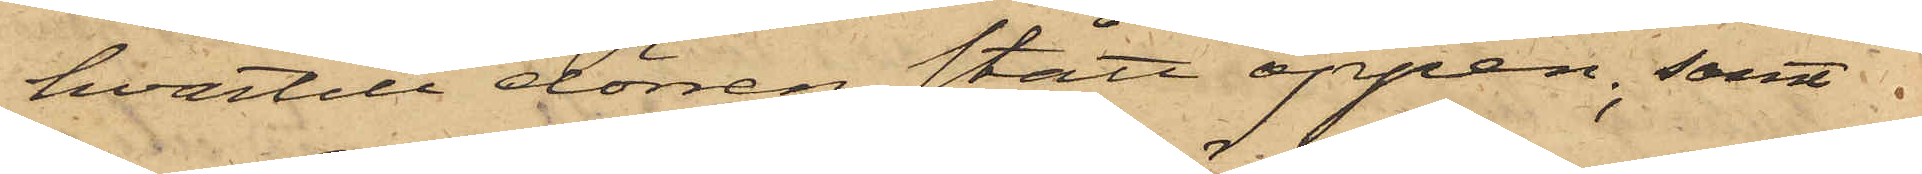hvartill dörren stått öppen; samt
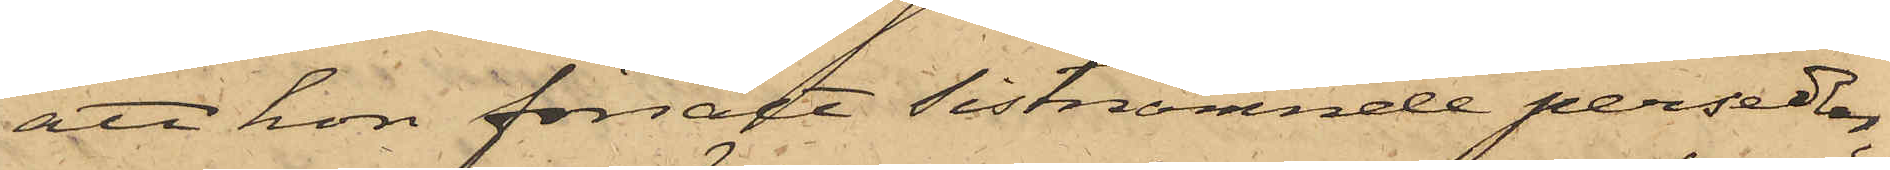att hon försålt sistnämnde persedlar,
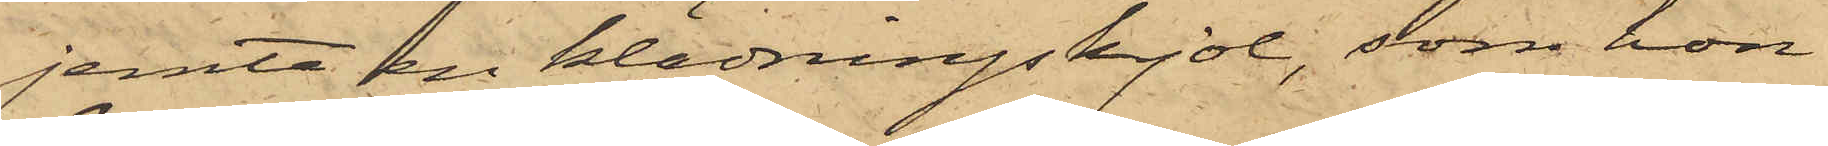jemte en klädningskjol, som hon
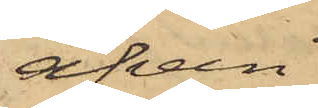äfven
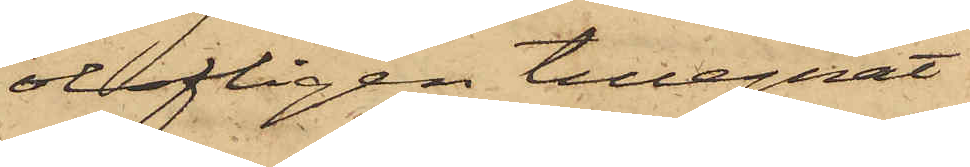olofligen tillegnat
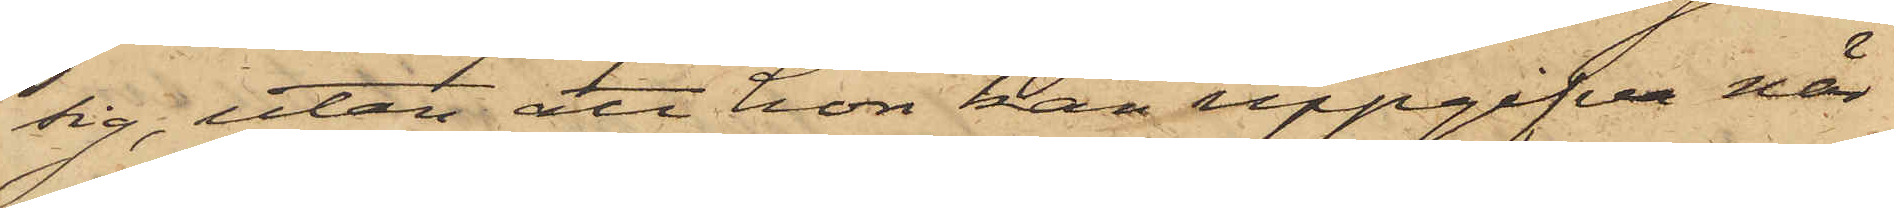sig, utan att hon han uppgifva när
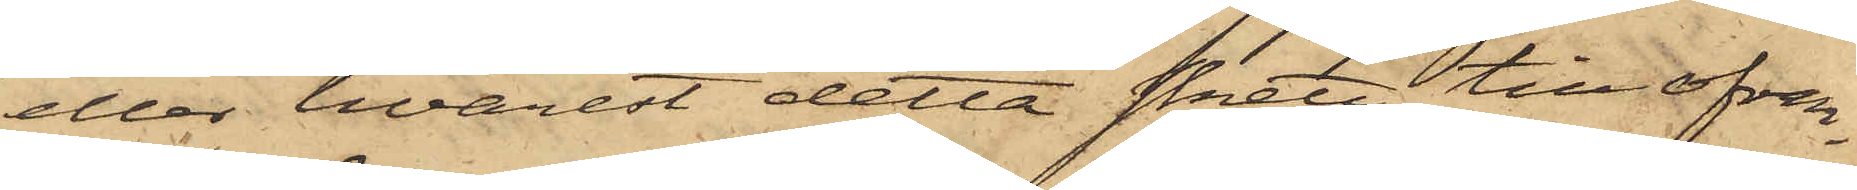eller hvarest detta skett, till ofvan¬
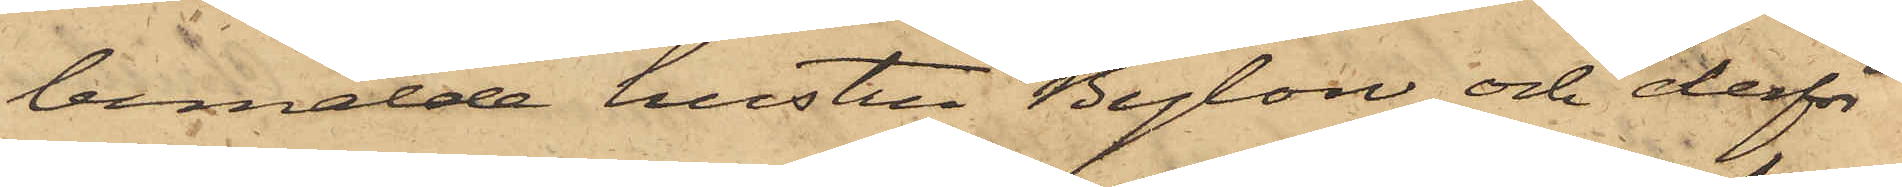bemälde hustru Bylow och derför
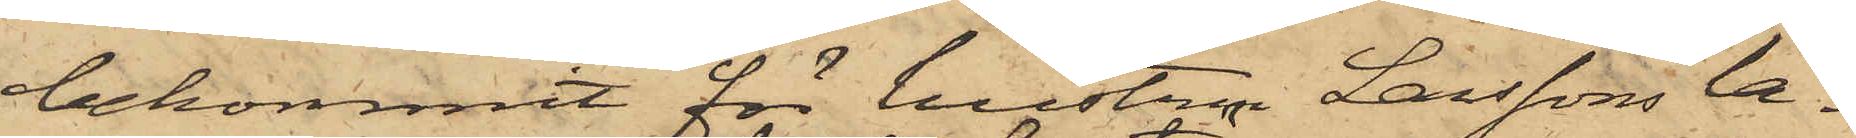bekommit för hustru Larssons la¬
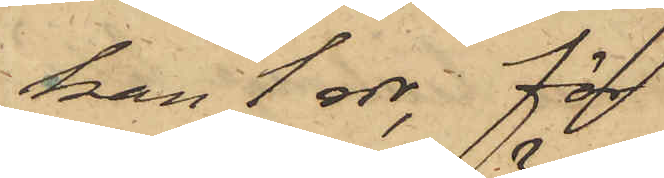kan 1 rdr, för
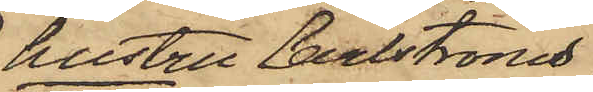hustru Carlströms
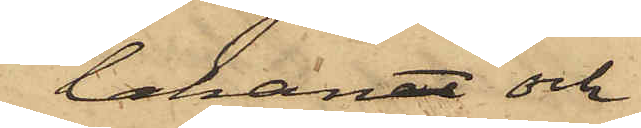lakanet och
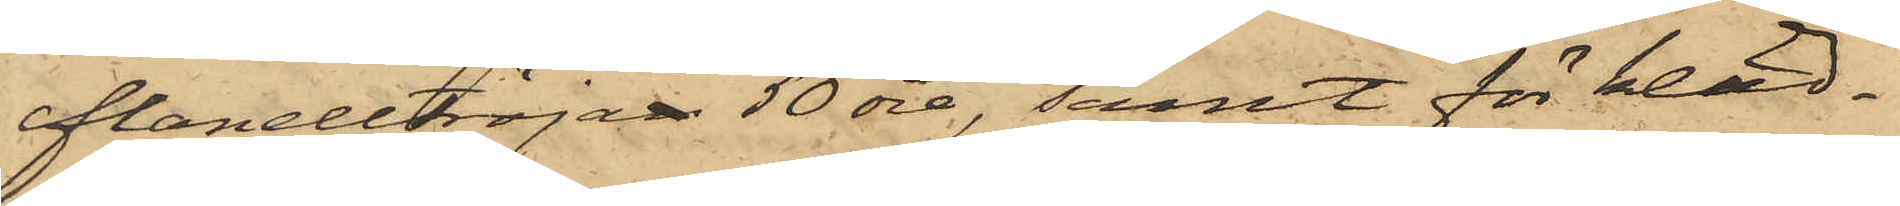flanelltröjan 50 öre, samt för kläd¬
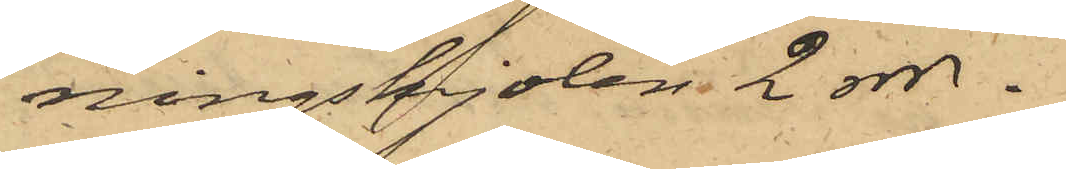ningskjolen 2 rdr.
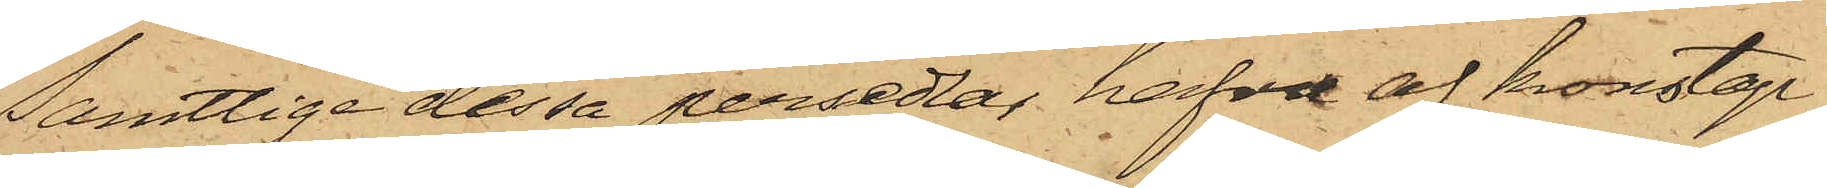Samtlige dessa persedlar hafva af konstap¬
